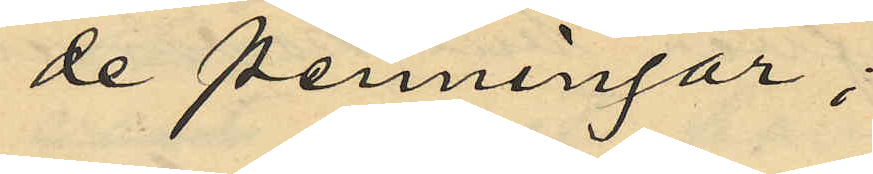de penningar;
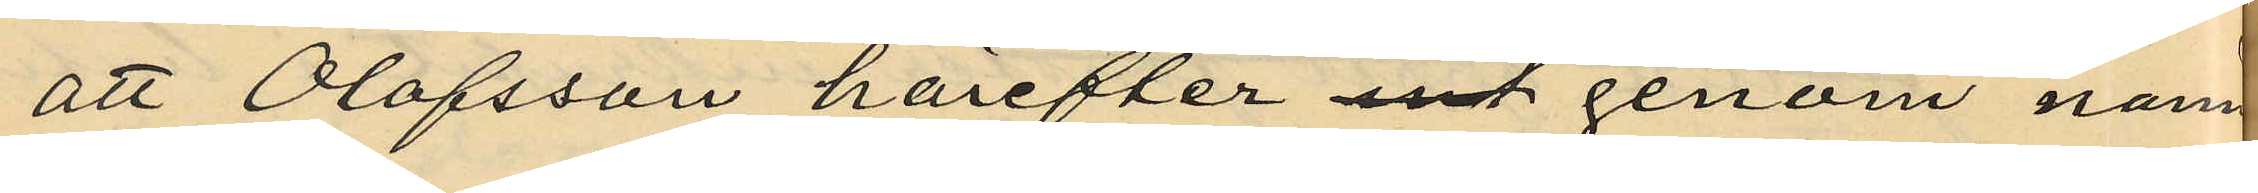att Olofsson härefter genom nämd¬
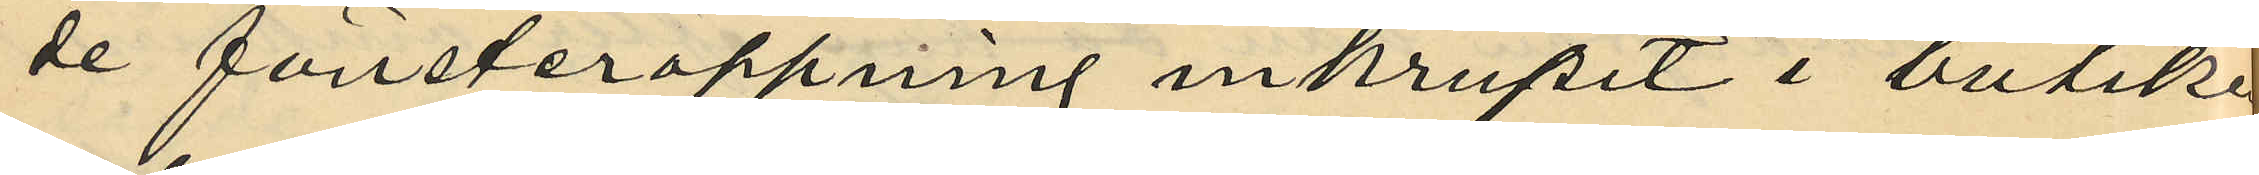de fönsteröppning inkrupit i butiken
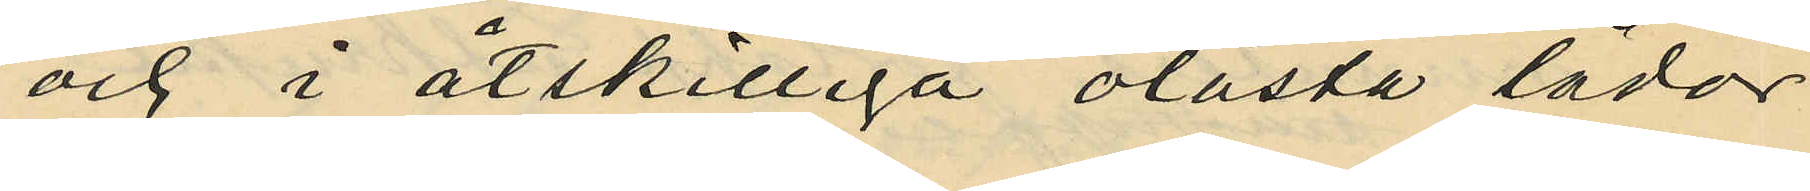och i åtskilliga olåsta lådor
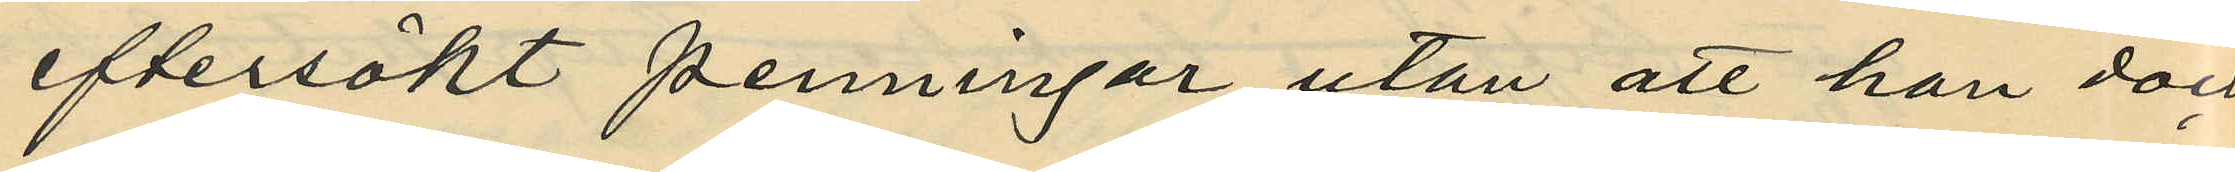eftersökt penningar utan att han dock
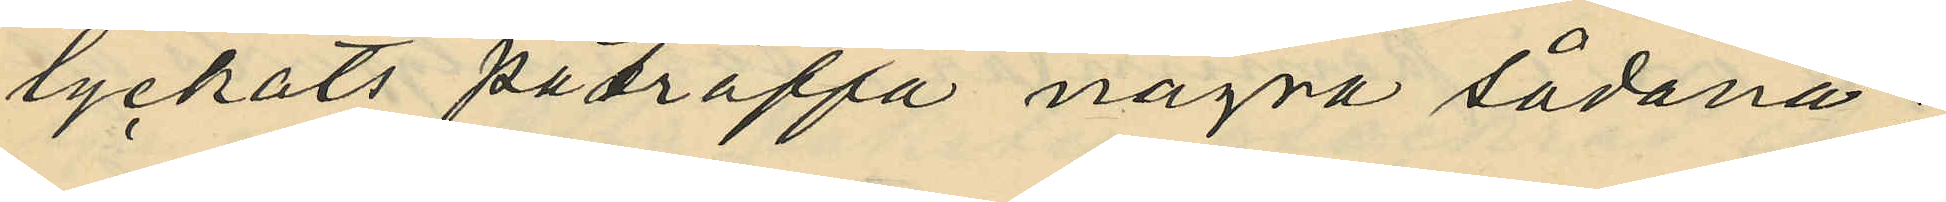lyckats påtråffa några sådana;
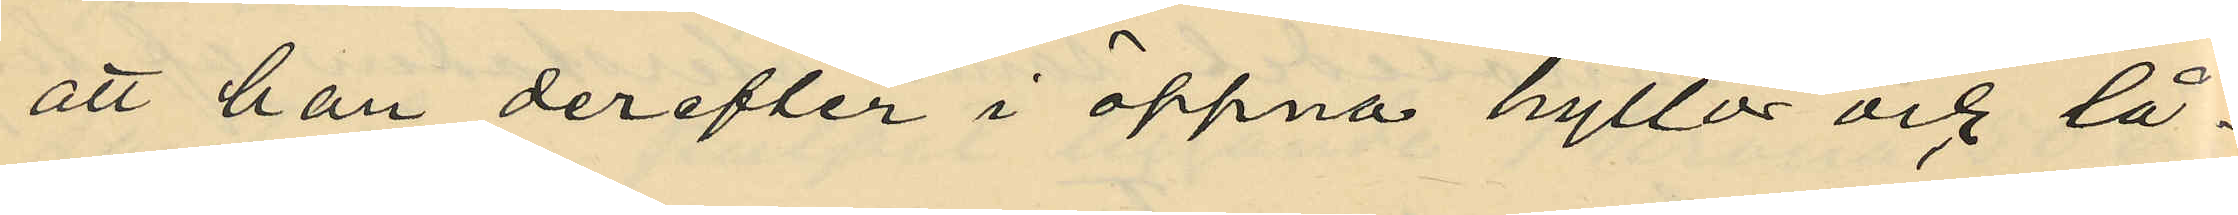att han derefter i öppna hyllor och lå¬
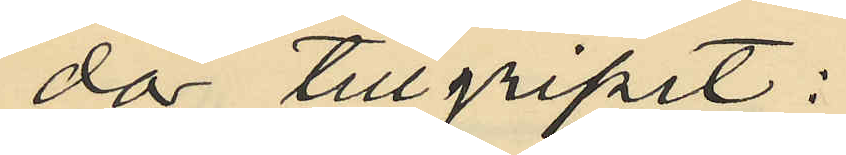dor tillgripit:
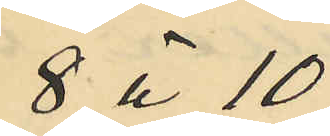8 à 10
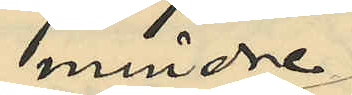mindre
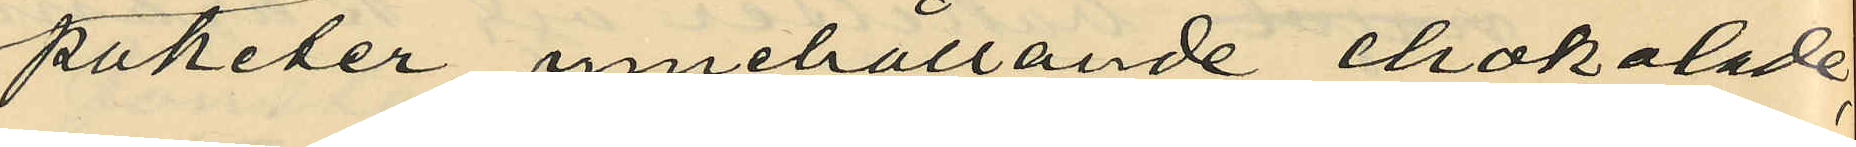paketer, innehållande chokolade,
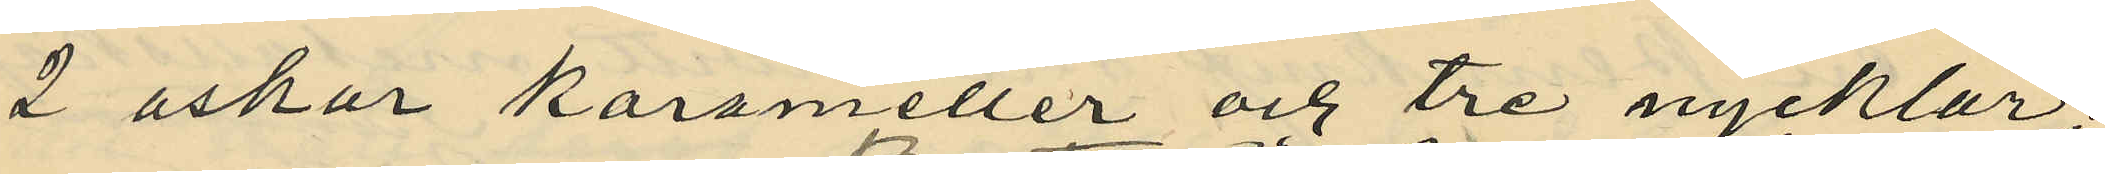2 askar karameller och tre nycklar;
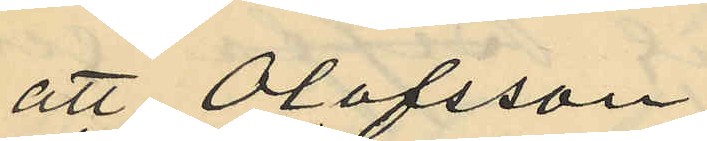att Olofsson,
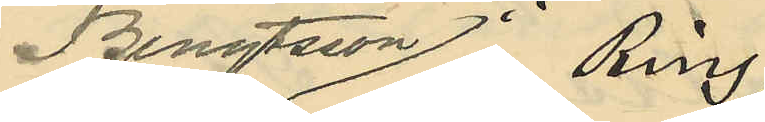Bengtsson, Ring
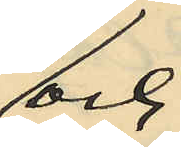och
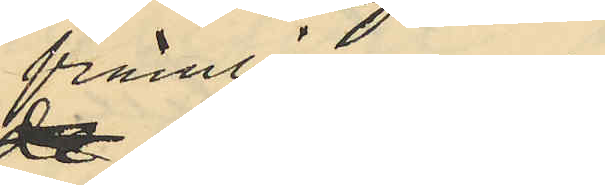främlingarne
